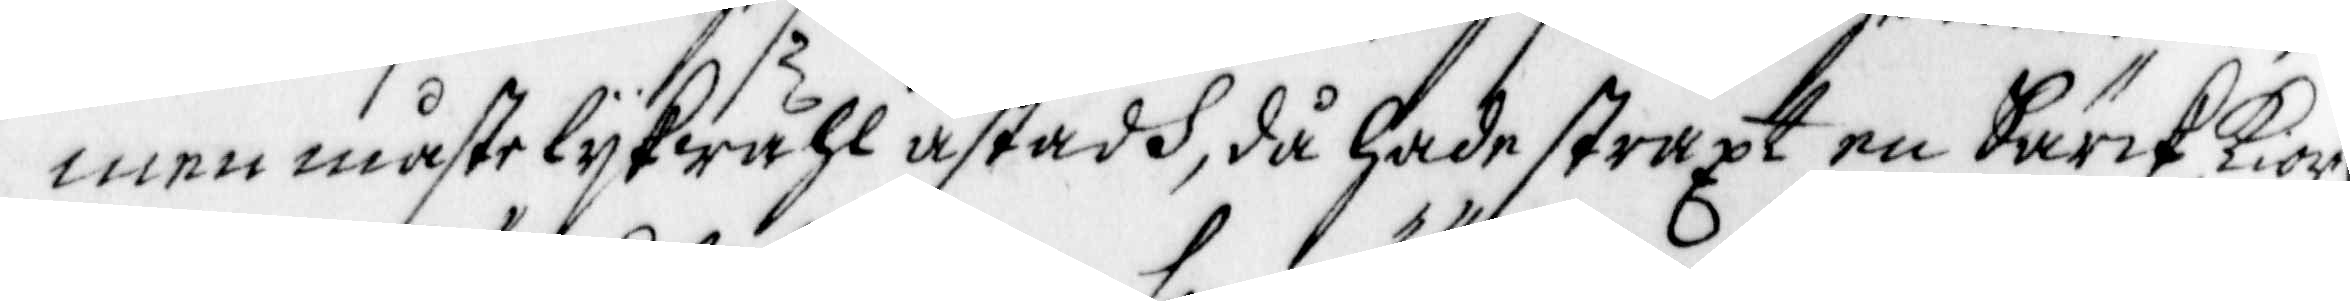men måste lykwähl åstadh, då hade straxt en Särck kior¬
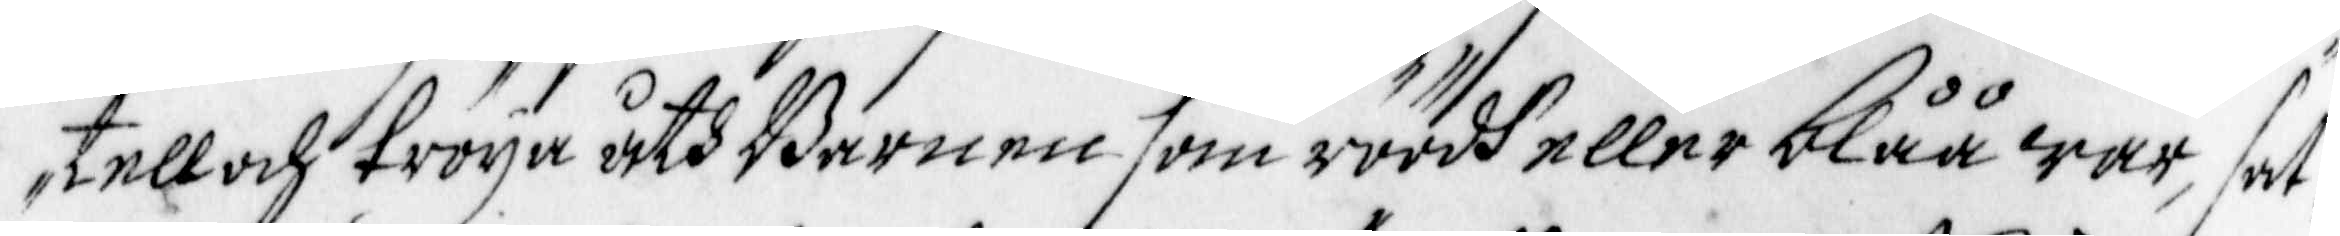tell och tröya åth Barnen som röödh eller blåå war, sat¬
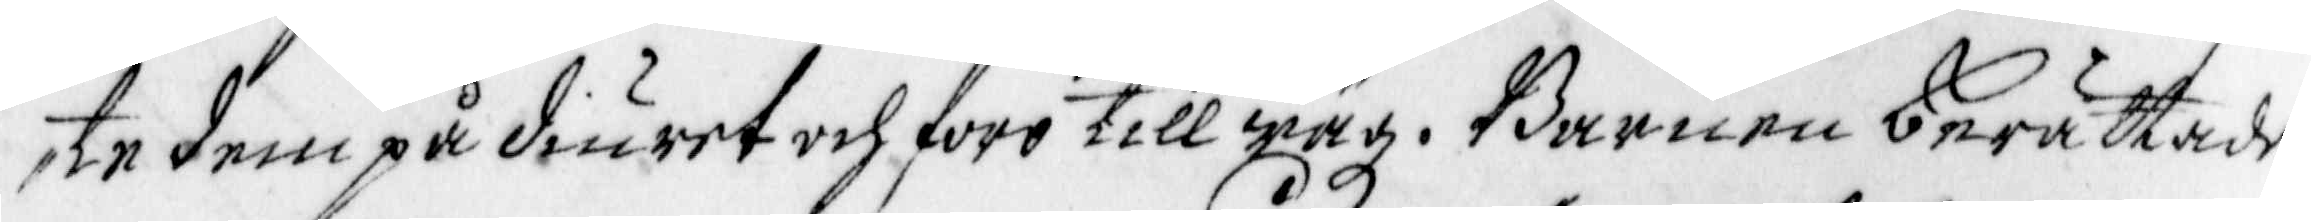te dem på diuret och foro till wäg. Barnen berättade
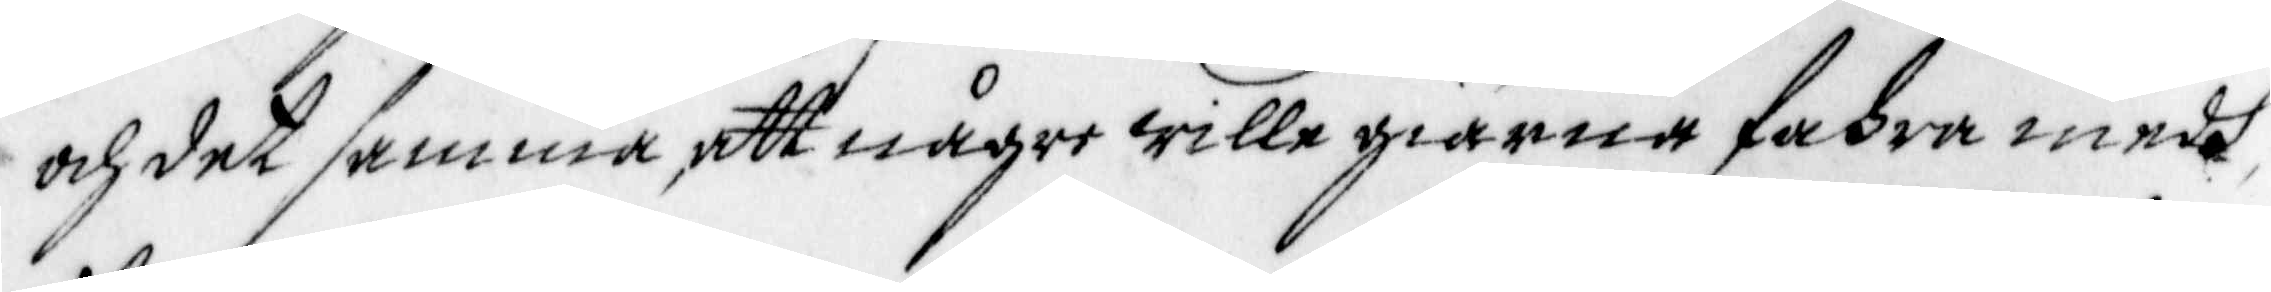och det samma, att någre wille giärna fahra medh
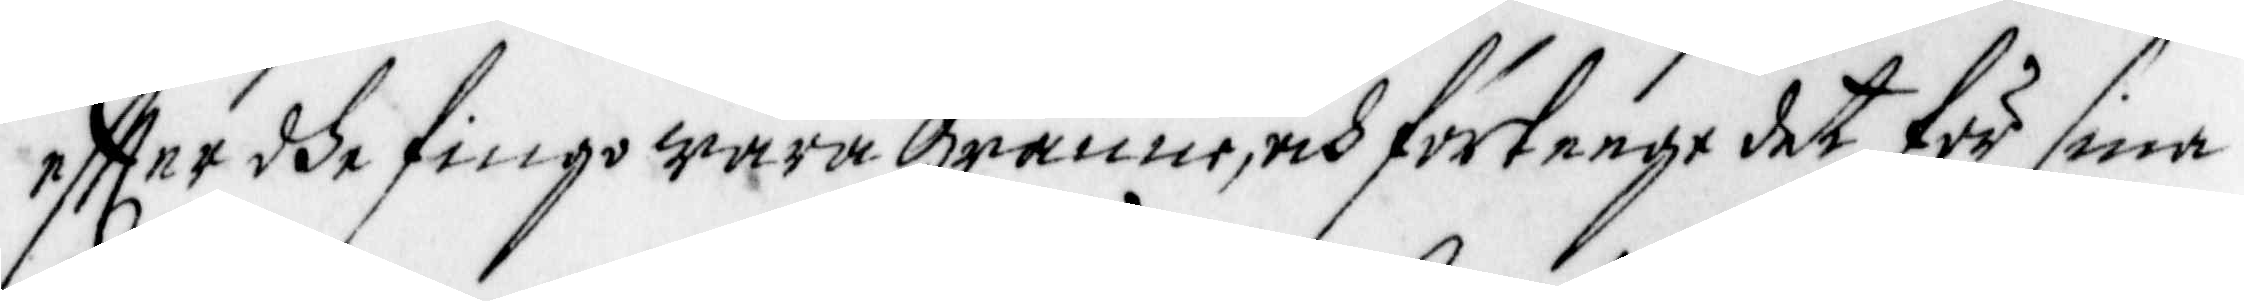effter dhe fingo wara granne, och förteege det för sina
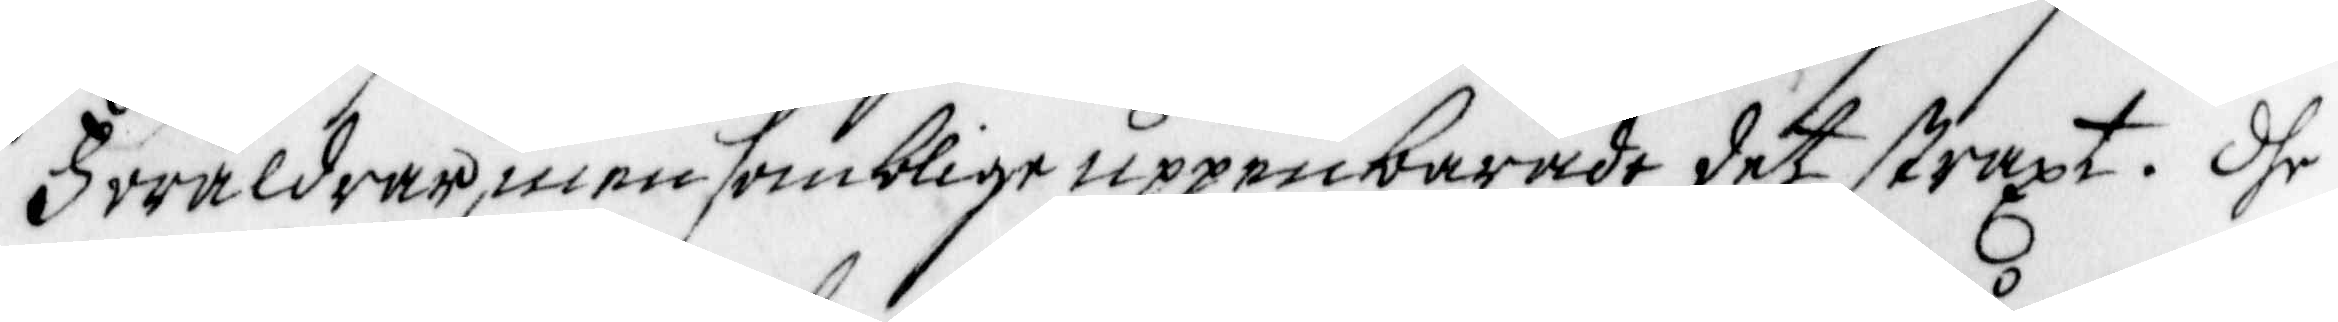Föräldrar, men somblige uppenbarade det straxt. Dhe
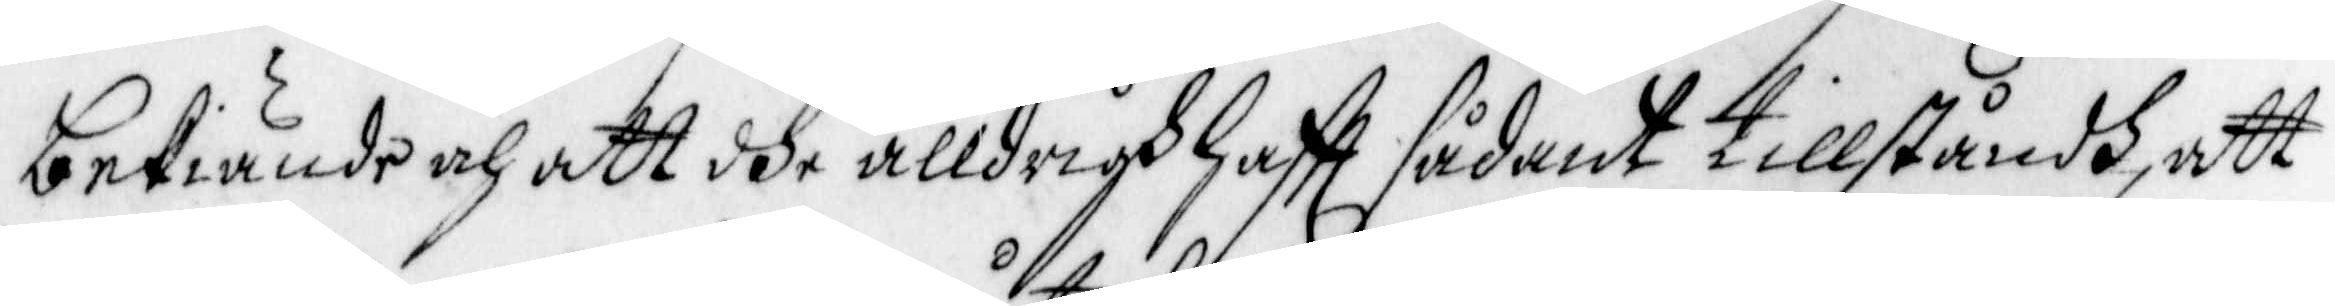bekiände och att dhe alldrigh Hafft sådant tillståndh, att
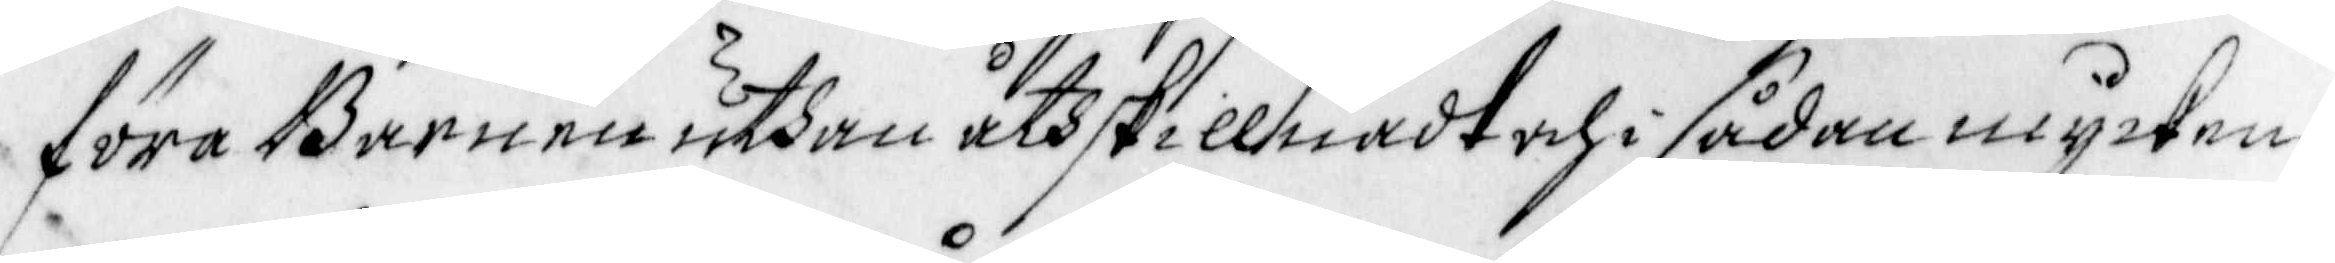föra Barnen uthan åthskillnadt och i sådan mycken¬
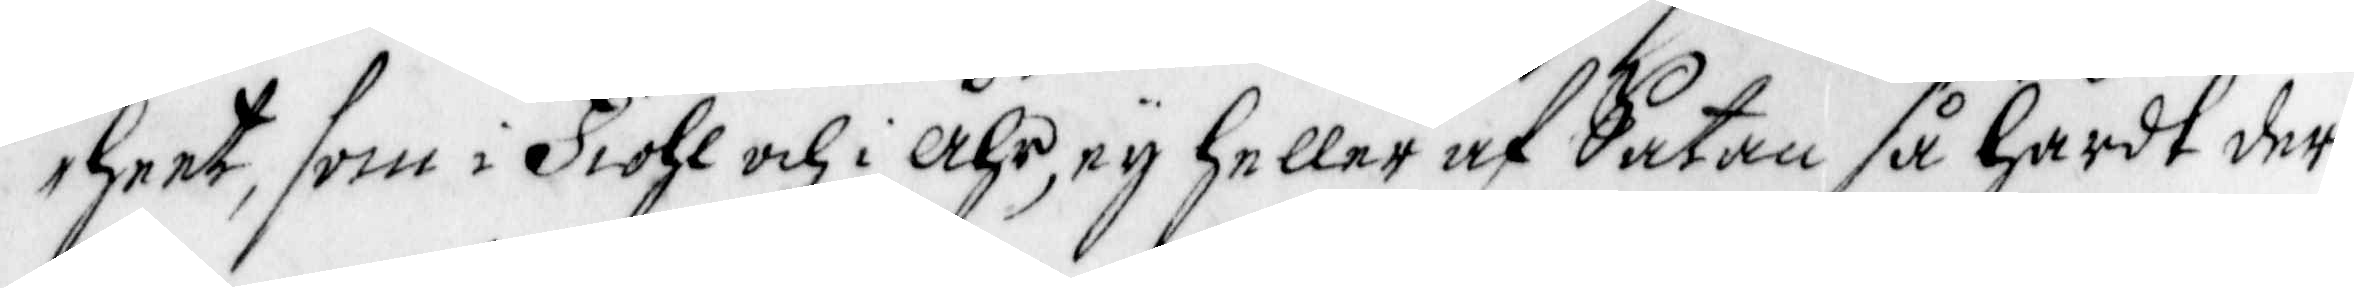heet, som i Fiol och i åhr, ey heller af Satan så Hårdt der
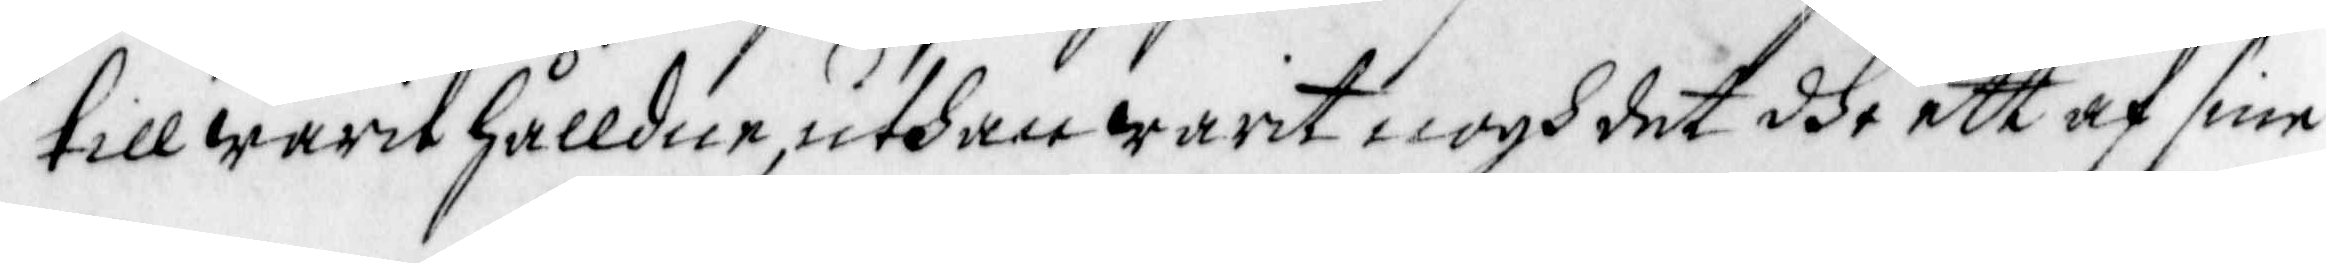till warit hålldne, uthan warit nogh det dhe ett af sine
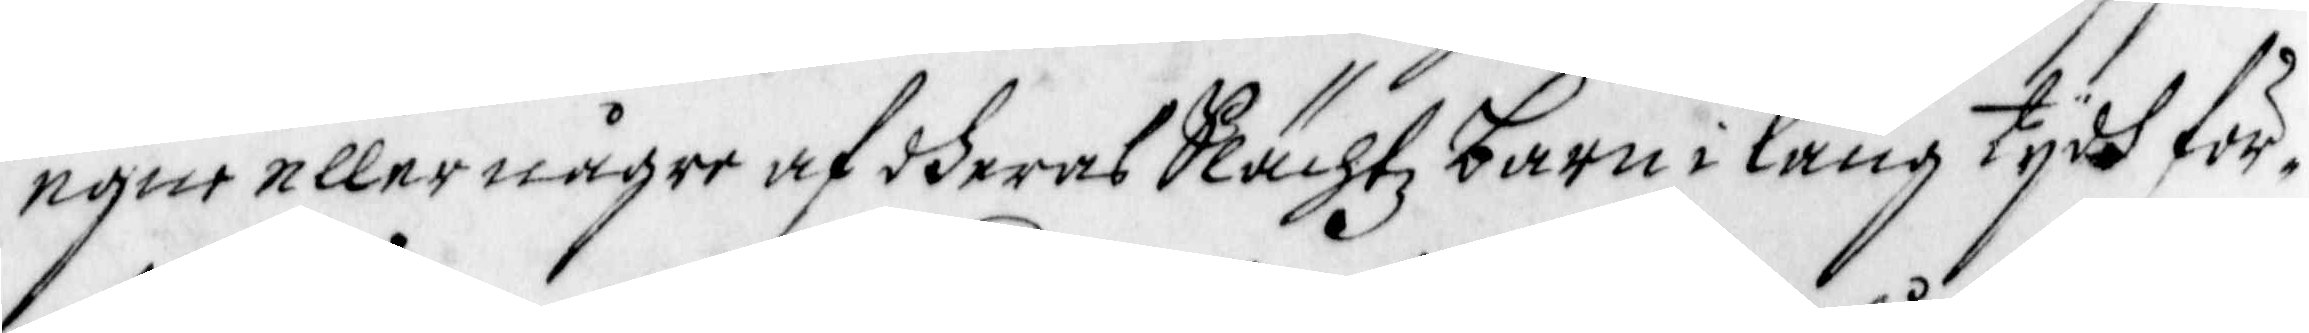egne eller någre af dheras Slächtz barn i lång tydh för¬
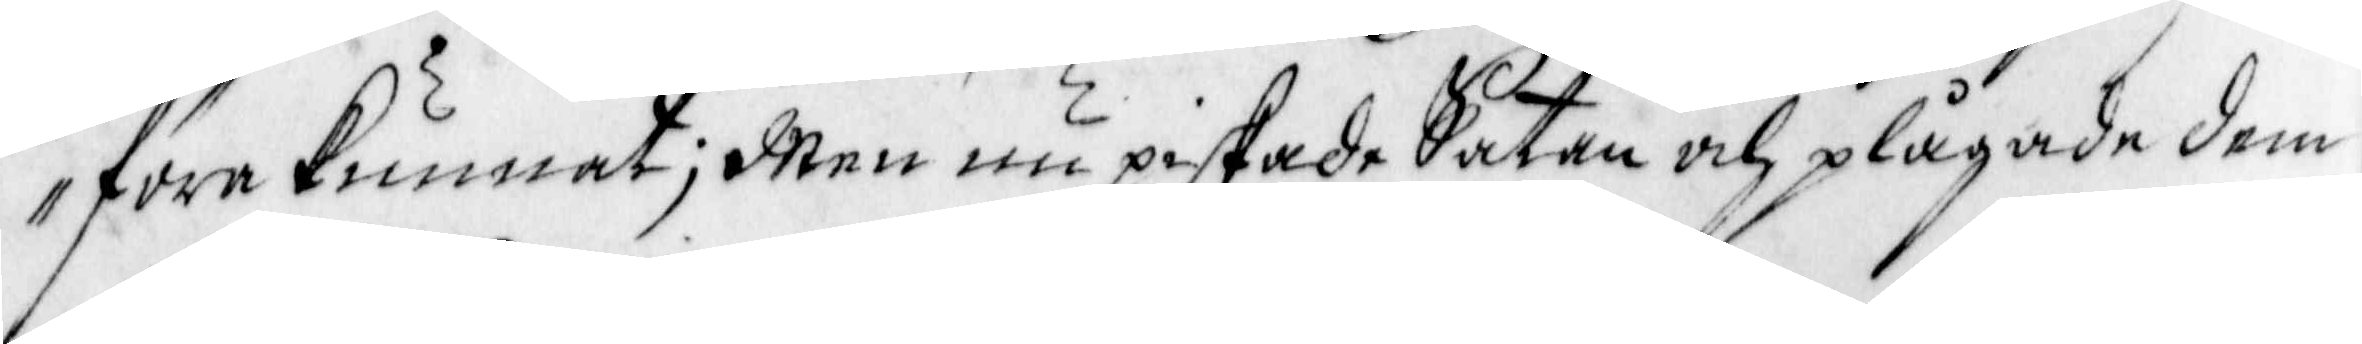föra Kunnat; Men nu piskade Satan och plågade dem,
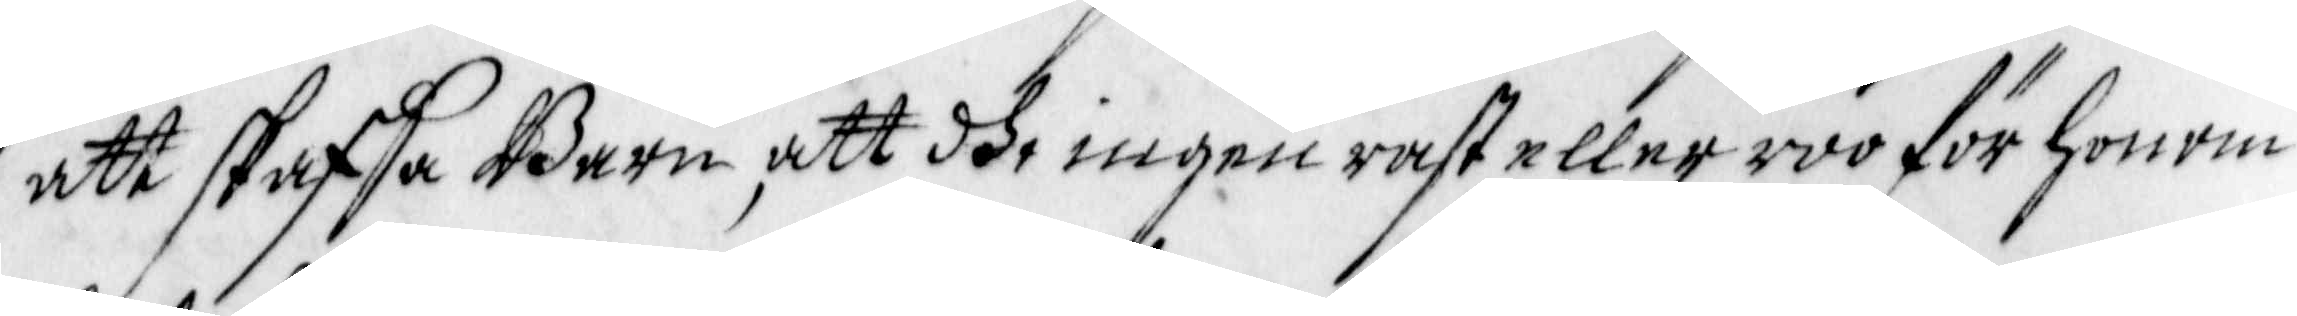att skaffa Barn, att dhe ingen rast eller roo för honom
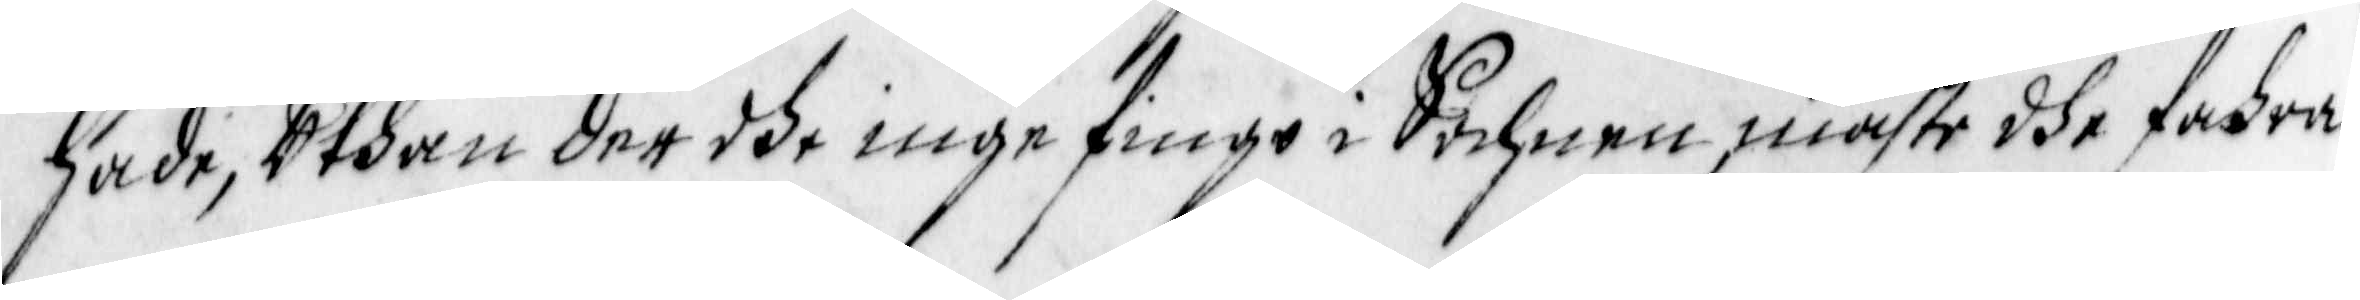hade, uthan der dhe inge fingo i Sochnen, måste dhe fahra
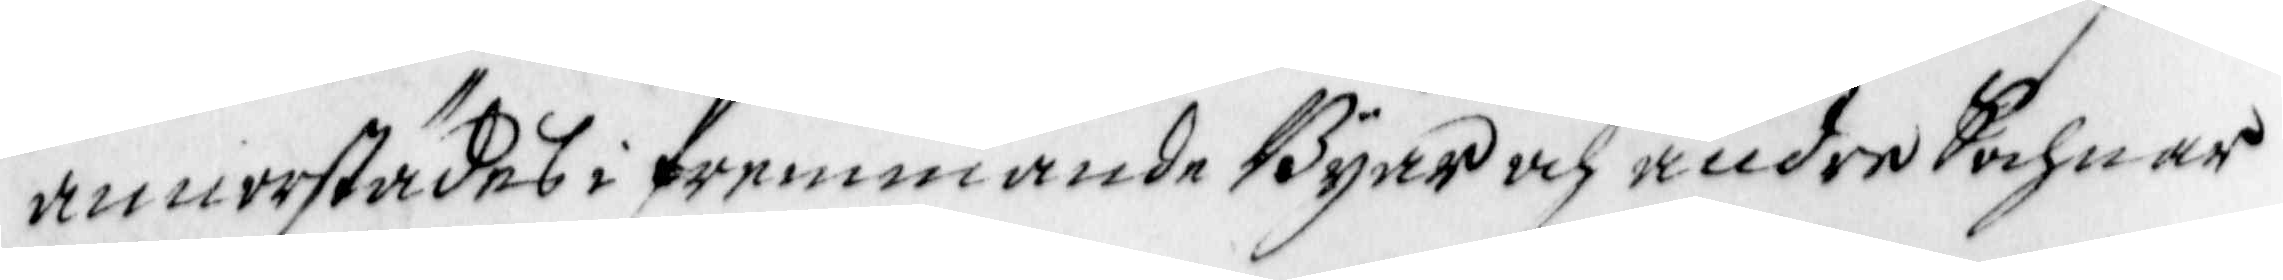annorstädes i fremmande Byar och andre Sochnar
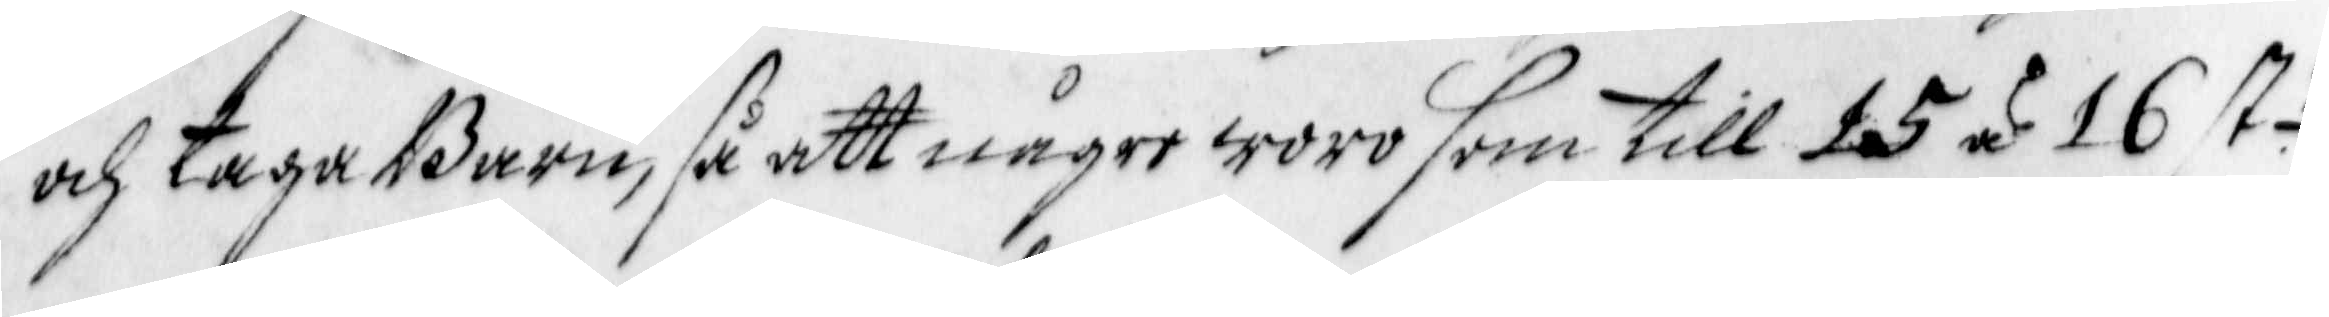och taga Barn, så att någre woro som till 15 å 16 st 
